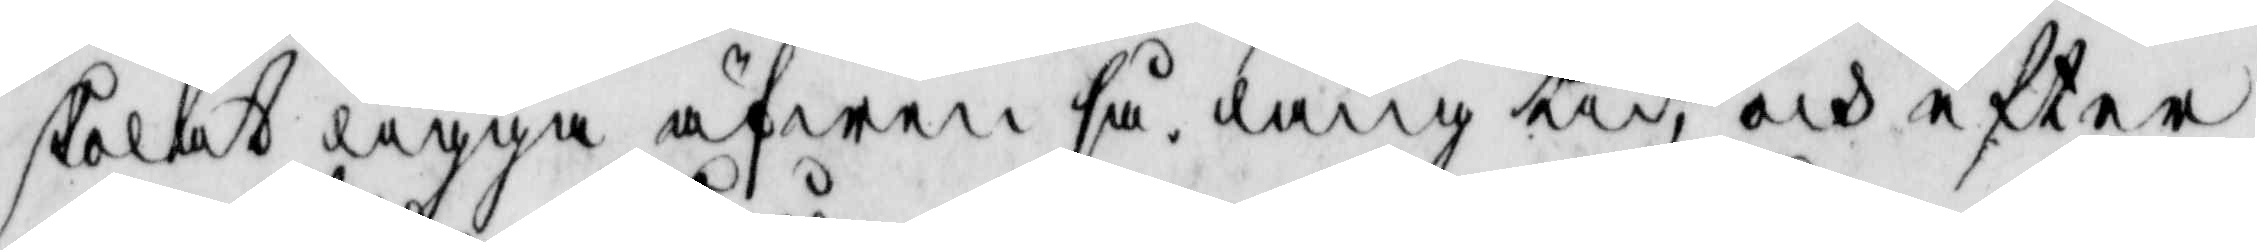skolat ligga äfwen så lång tid, och efter
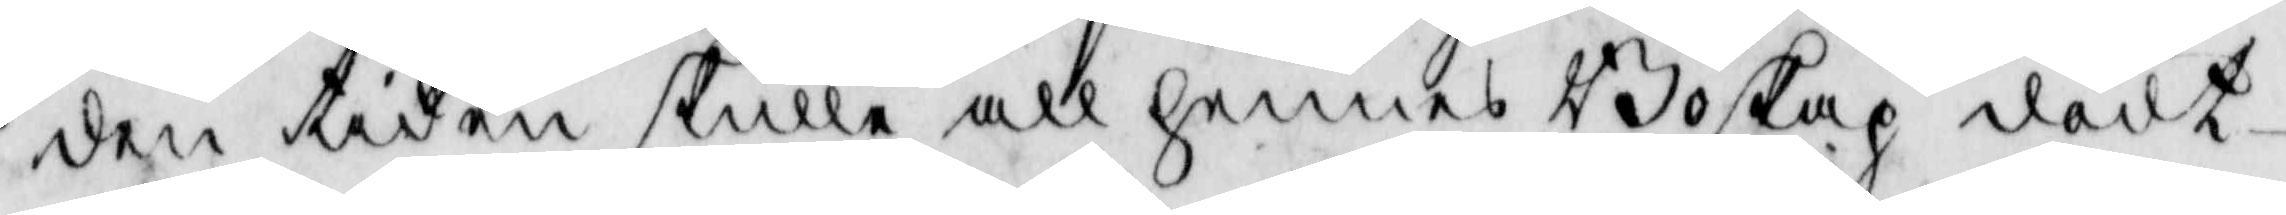den tiden skulle all hennes Boskap dödt
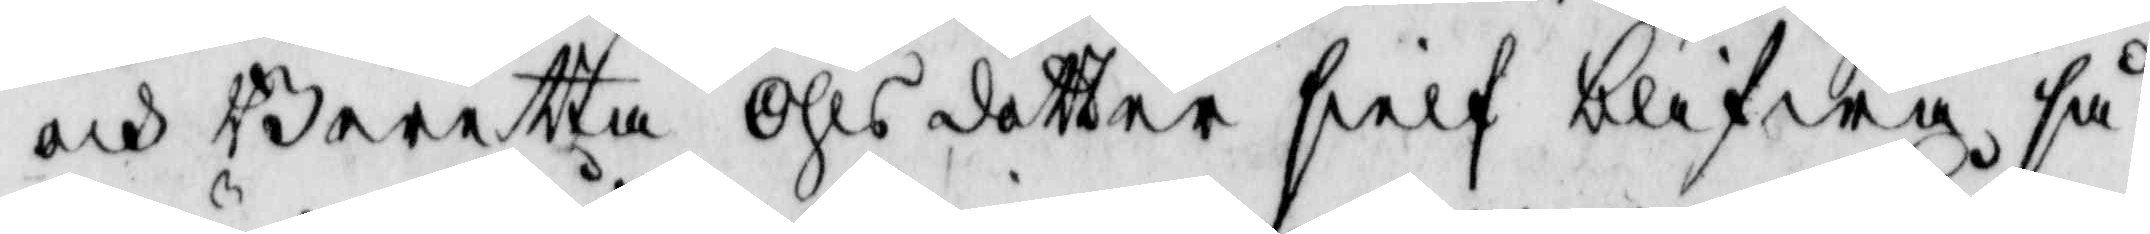och Beertta Ohls dotter sielf blifwa så
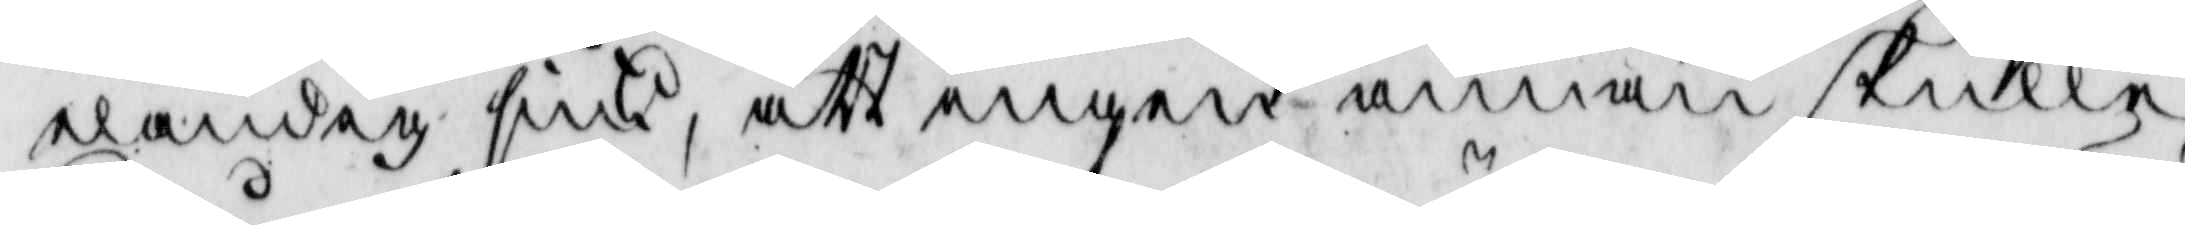eländig siuk, att ingen annan skulle
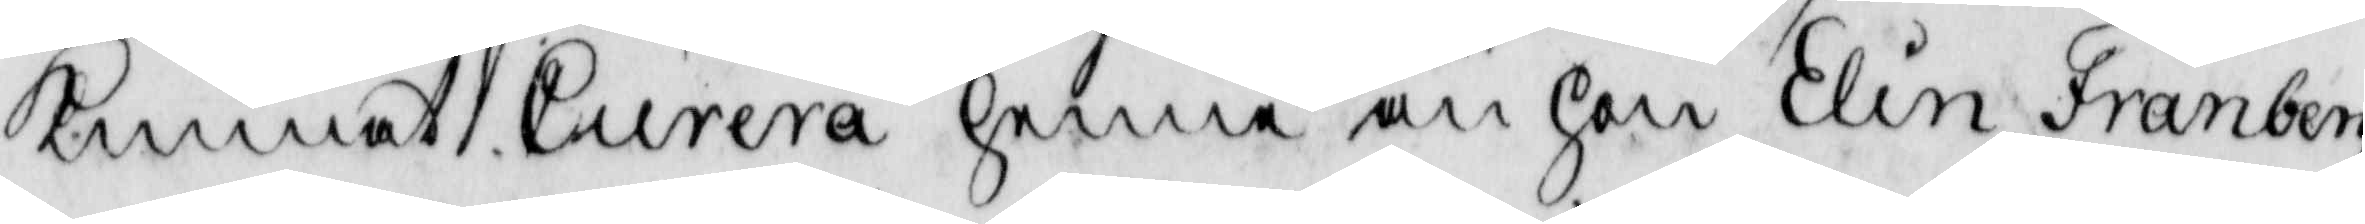kunnat Curera henne än hon Elin Fränberg
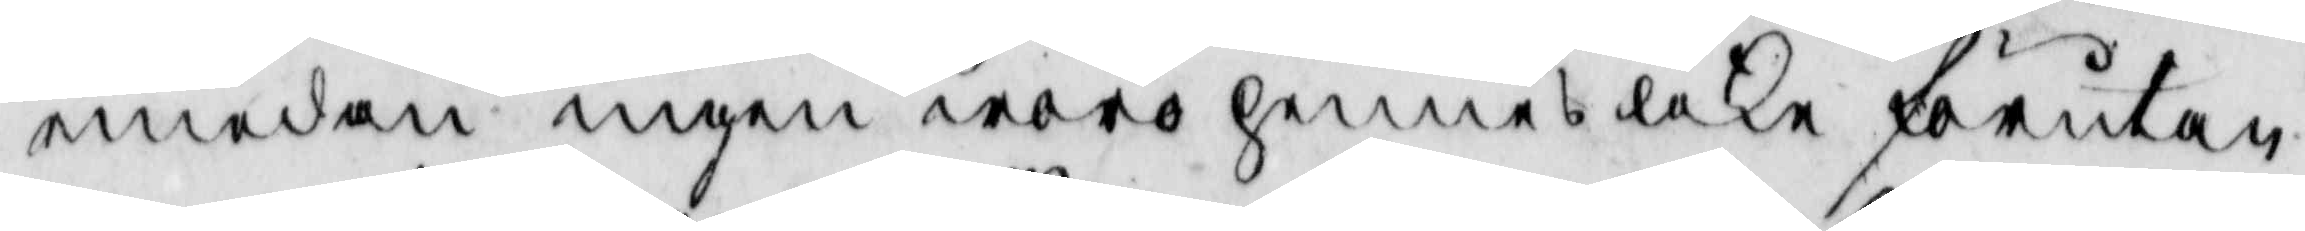medan ingen woro hennes like förutan
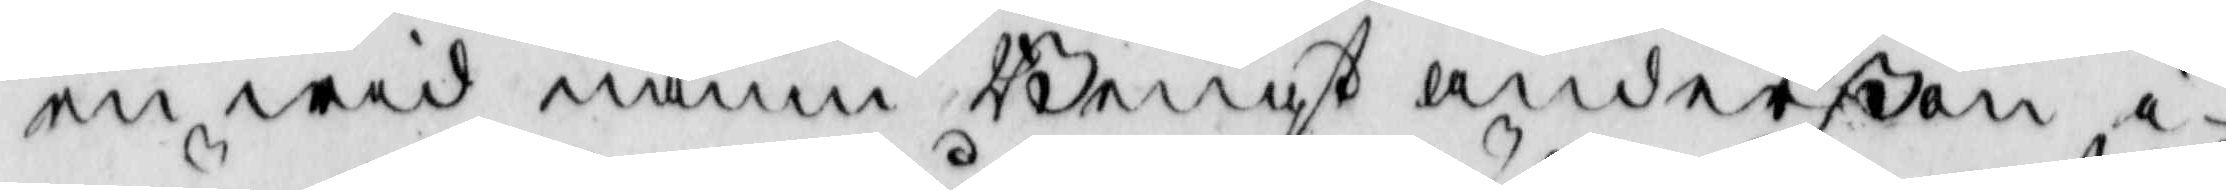en wid namn Bengt anderßon i
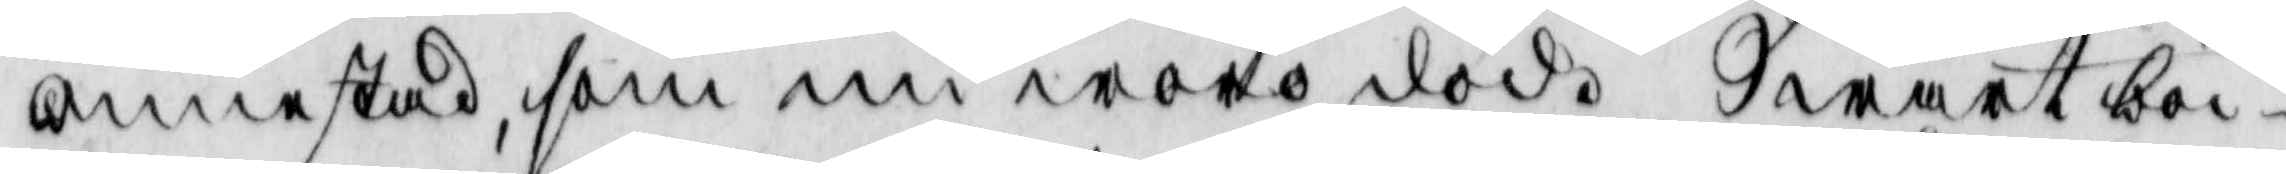ännestad, som nu wore död. Swart bö¬
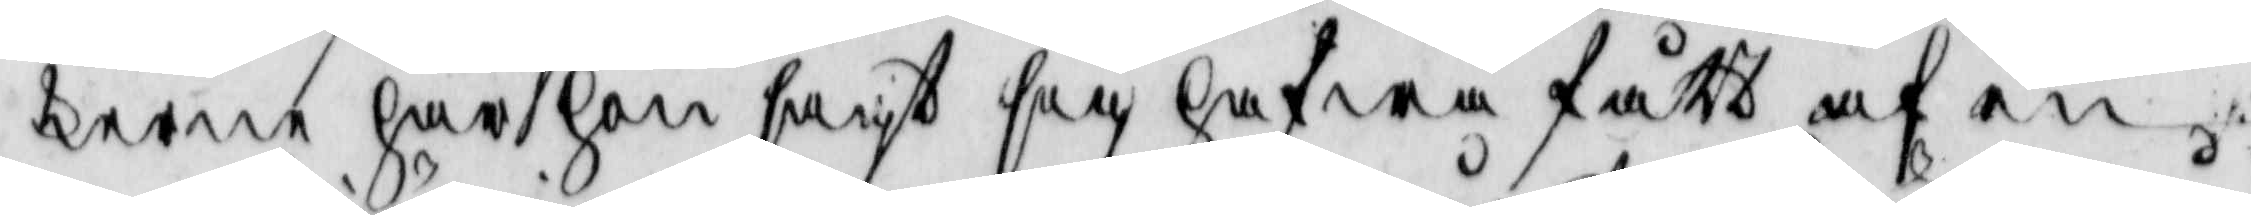kerne har hon sagt sig hafwa fått af en
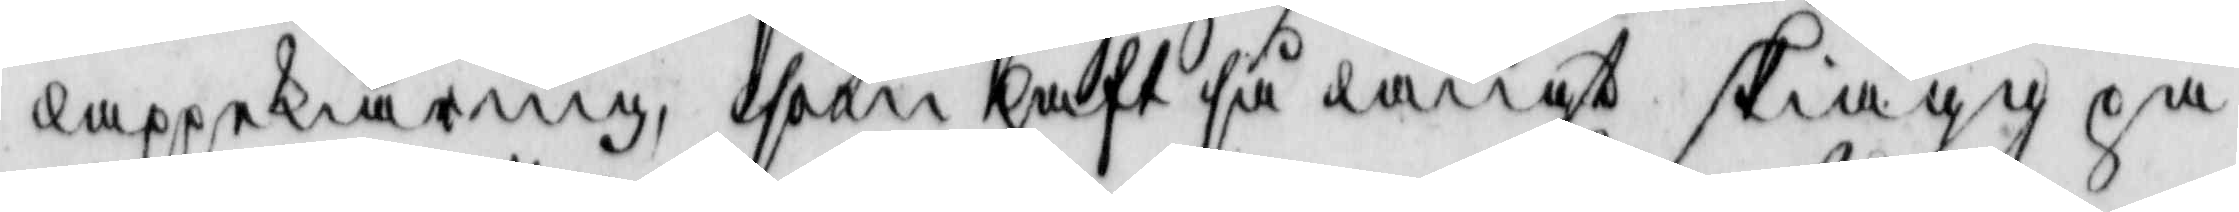lappekiäring, som haft så långt skiägg på
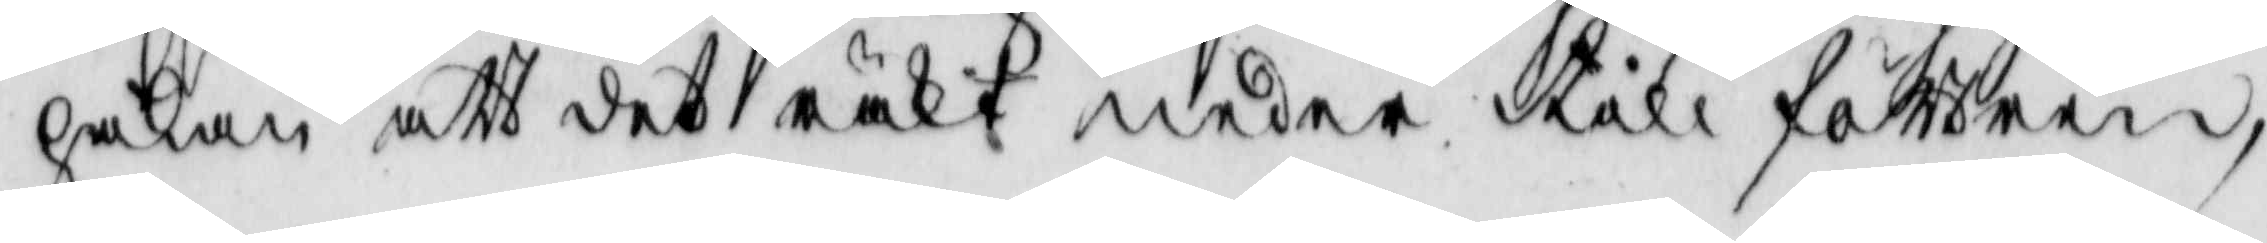hakan att det räkt neder till föttren
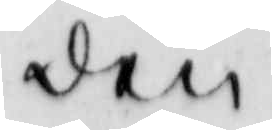den
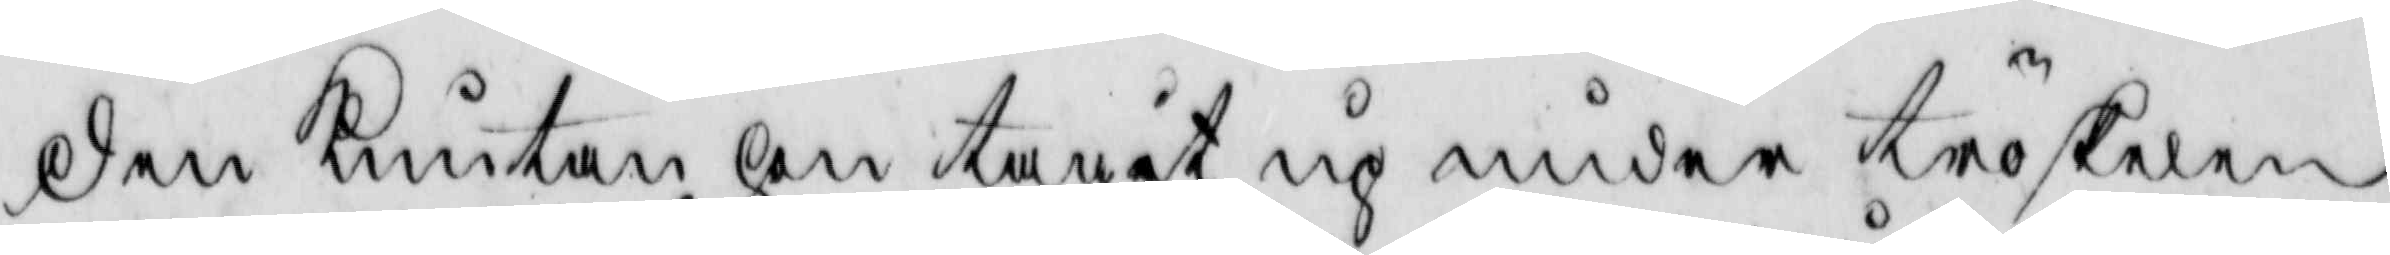den knutan hon tagit up under tröskelen
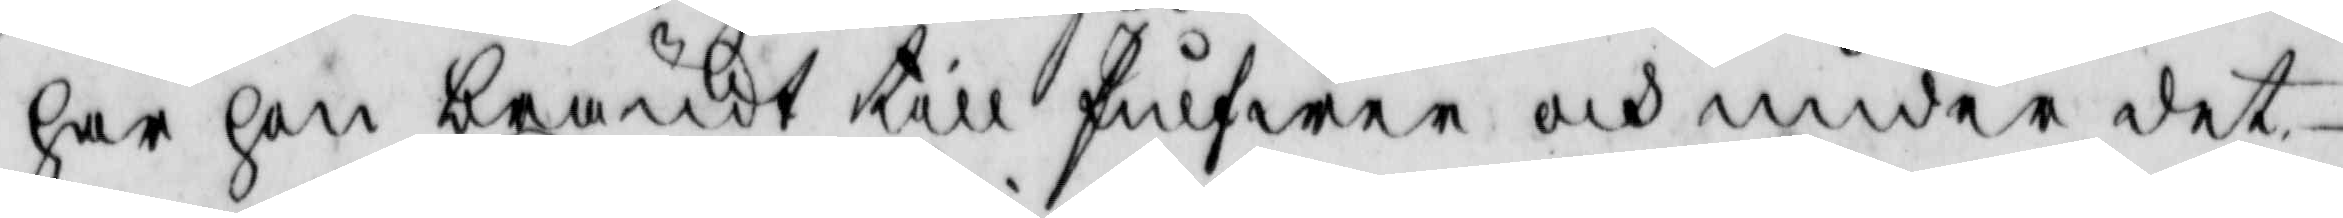har hon brändt till pulfwer och under det¬
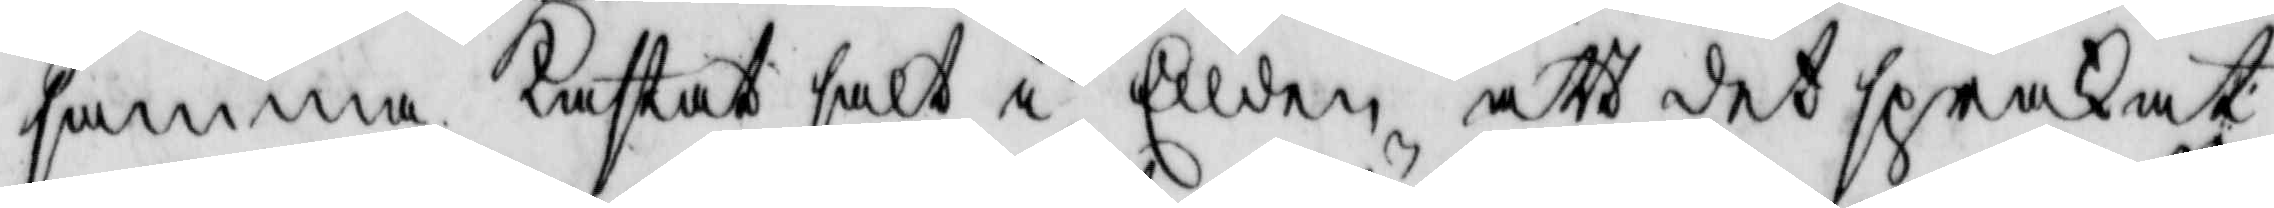samma kastat salt i Ellden, att det sprakat
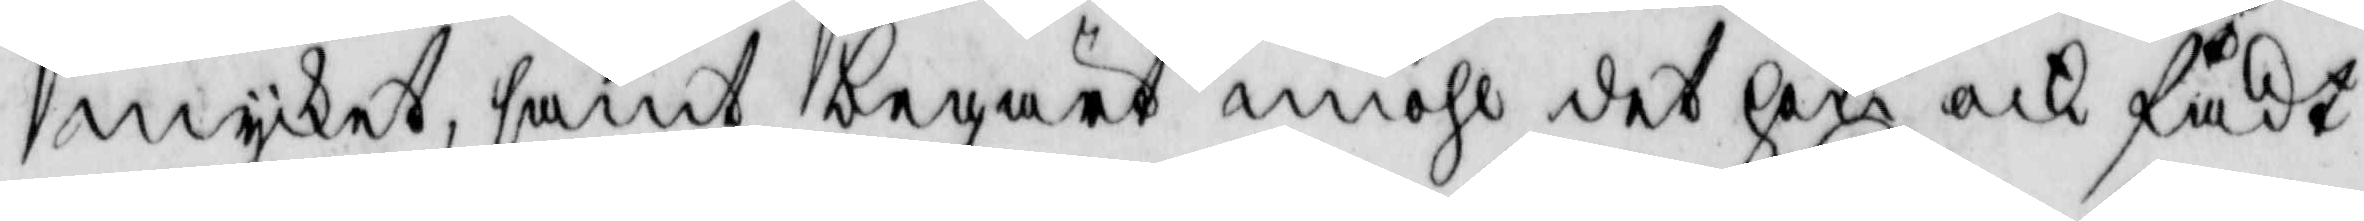mycket, samt begärt miöhl det hon ock fådt
